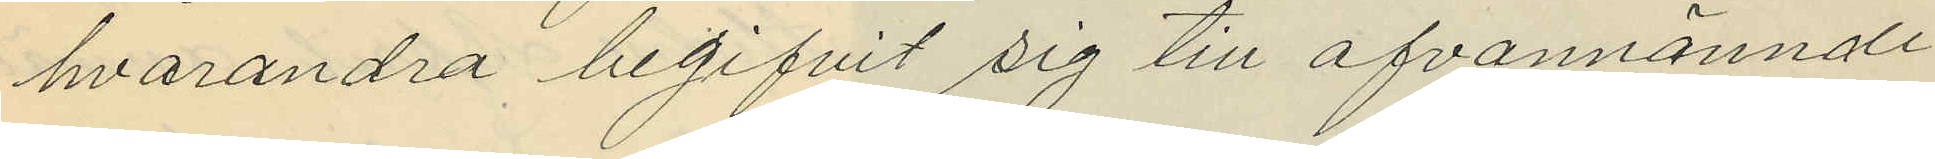hvarandra begifvit sig till ofvannämnde
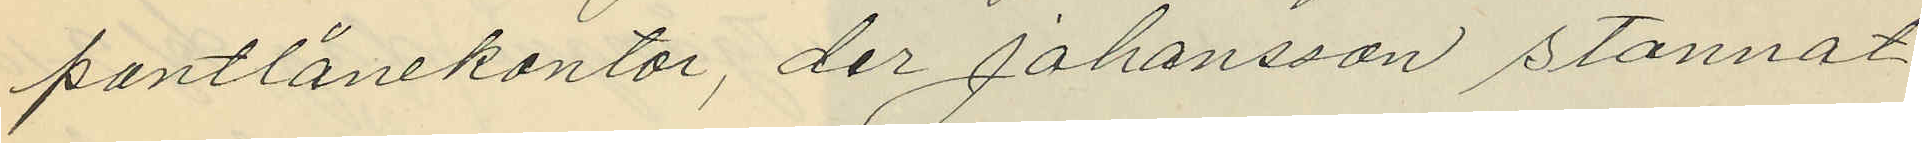pantlånekontor, der Johansson stannat
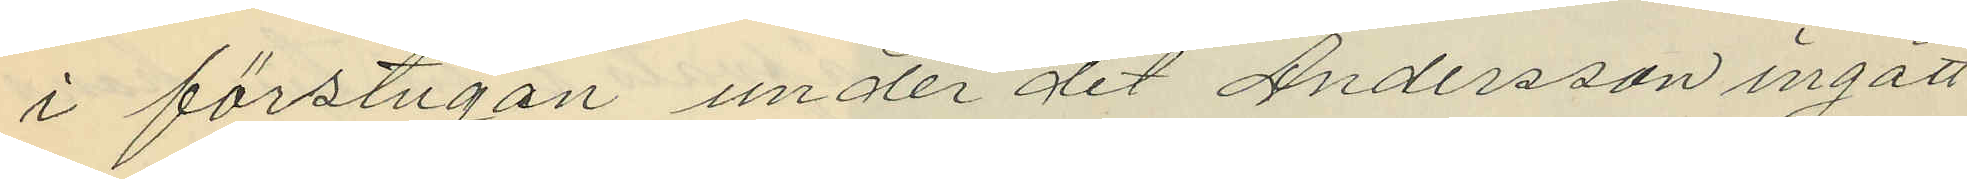i förstugan under det Andersson ingått
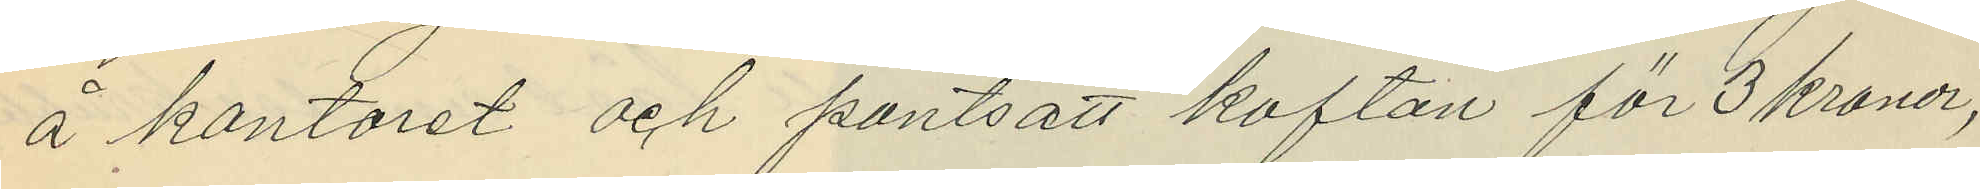å kontoret och pantsatt koftan för 3 kronor,
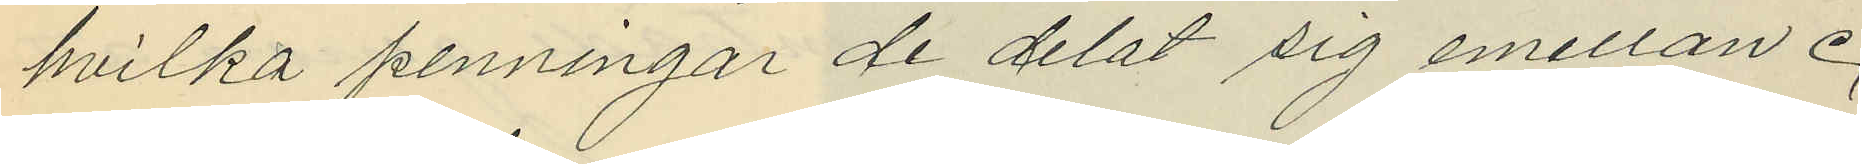hvilka penningar de delat sig emellan.
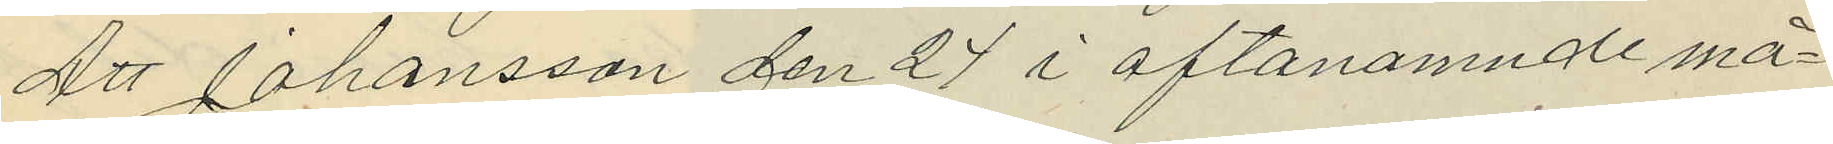Att Johansson den 24 i oftanamnde må¬
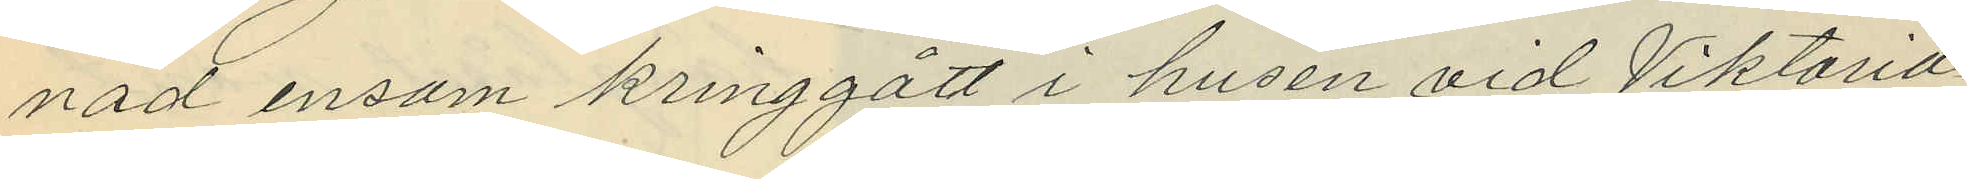nad ensam kringgått i husen vid Viktoria¬
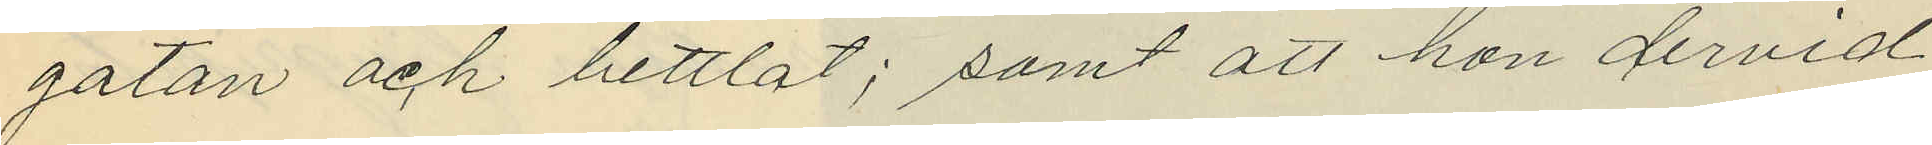gatan och bettlat; samt att hon dervid
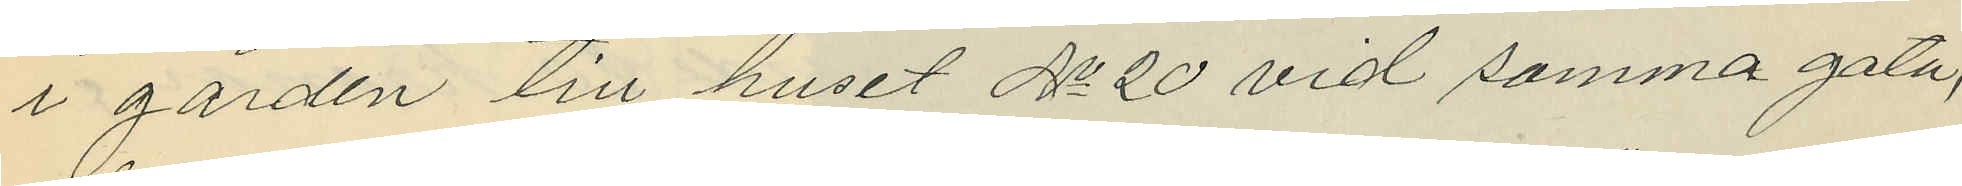i gården till huset No 20 vid samma gata,
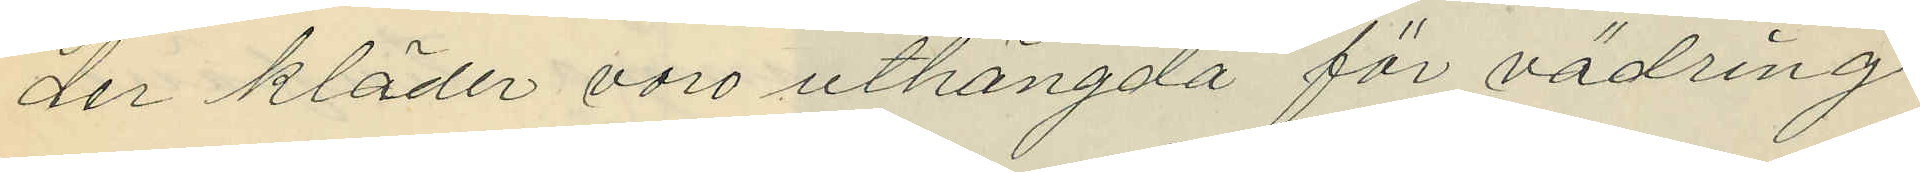der kläder voro uthängda för vädring
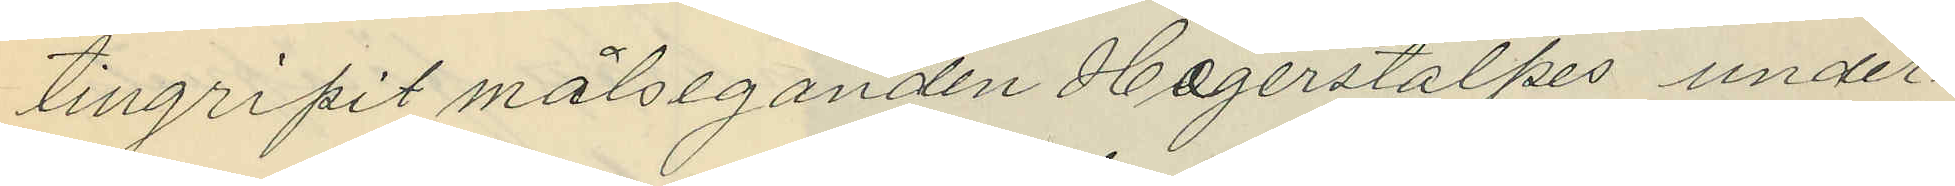tillgripit målseganden Hagerstalpes under¬
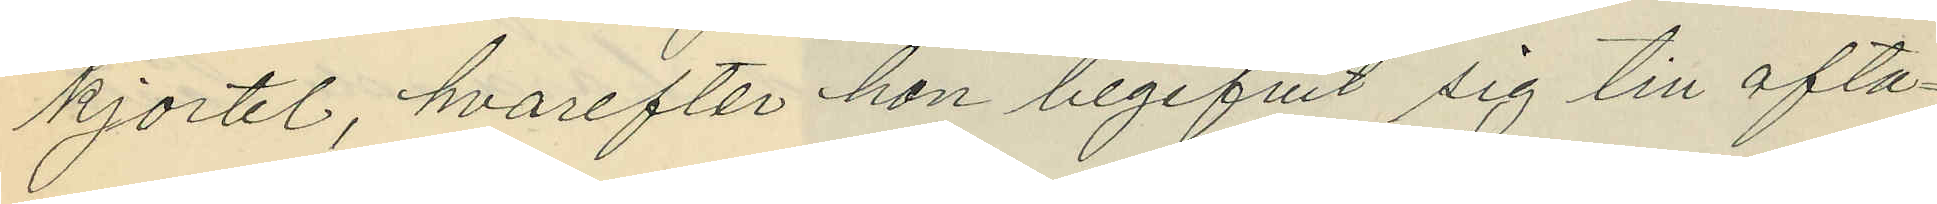kjortel, hvarefter hon begifvit sig till ofta¬
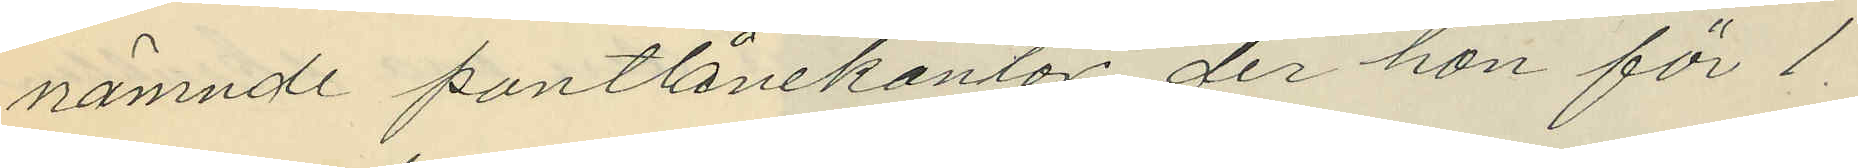nämnde pantlånekontor; der hon för 1
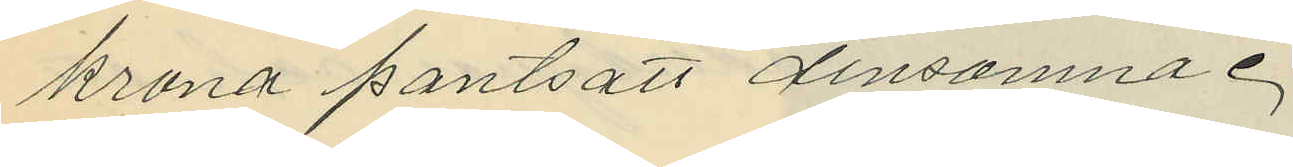krona pantsatt densamma.
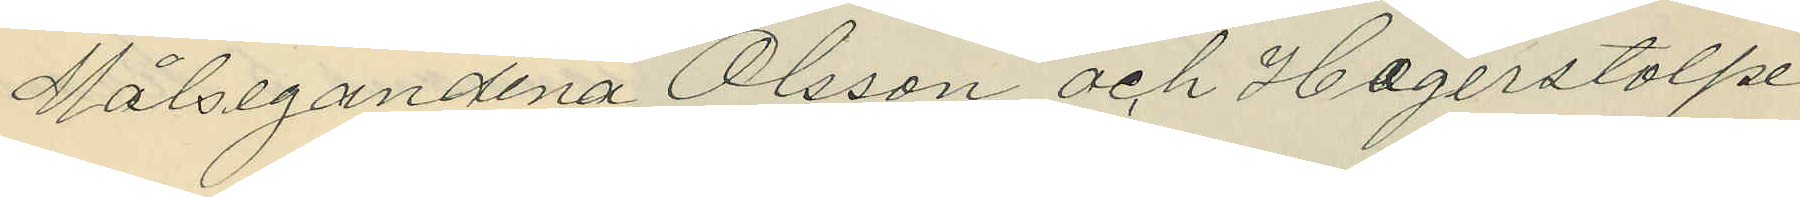Målsegandena Olsson och Hagerstolpe
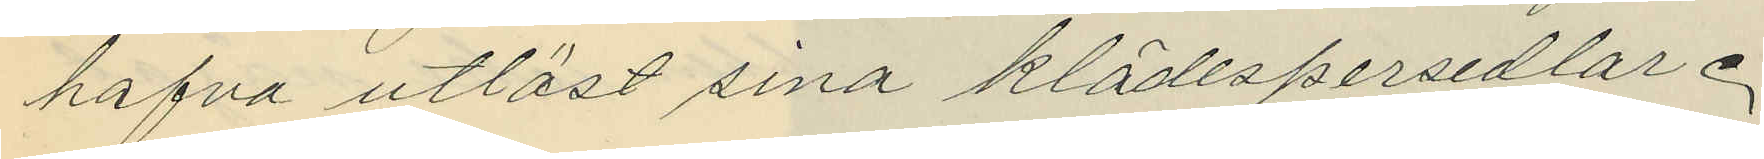hafva utlöst sina klädespersedlar.
